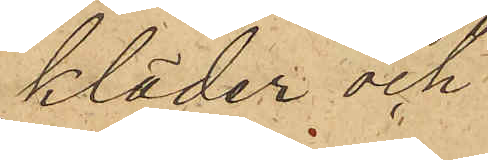kläder och
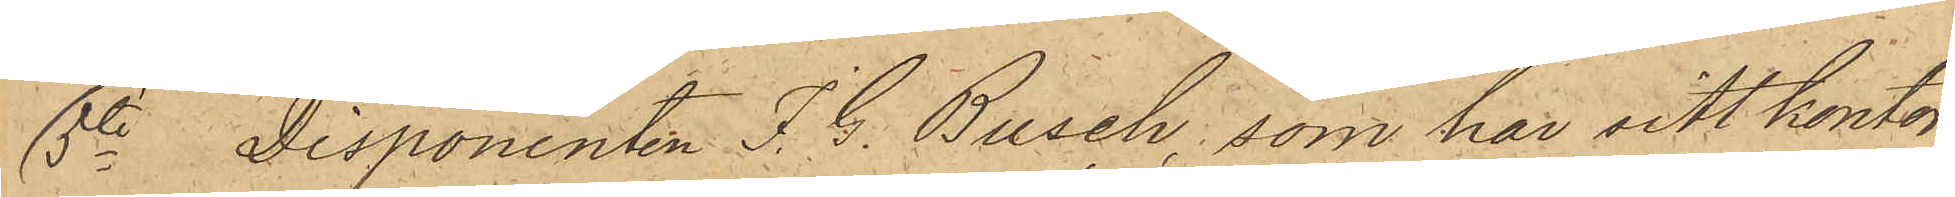5o Disponenten J.G. Busck, som har sitt kontor
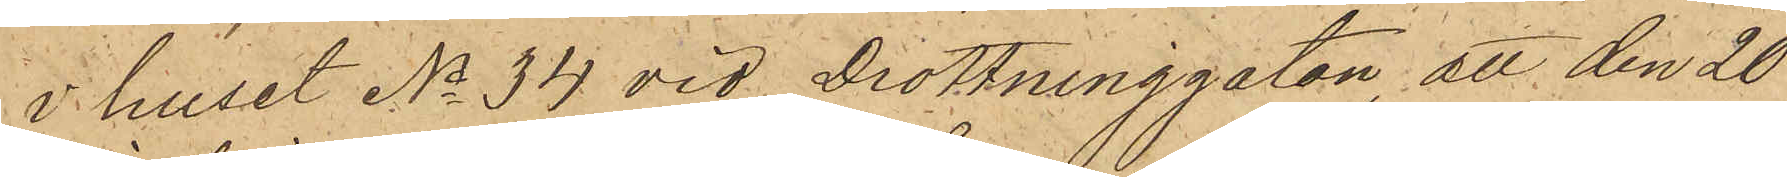i huset No 34 vid Drottninggatan, att den 20
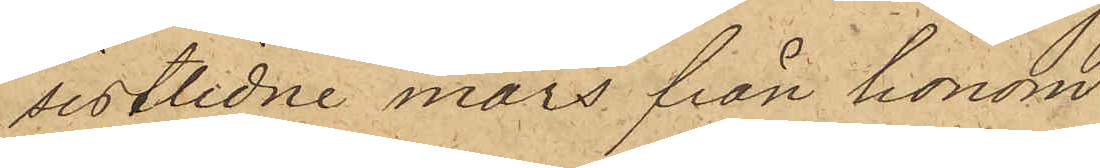sistlidne mars från honom
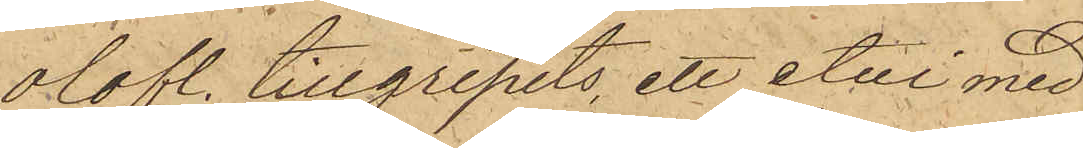olofl. tillgripits, ett etui med
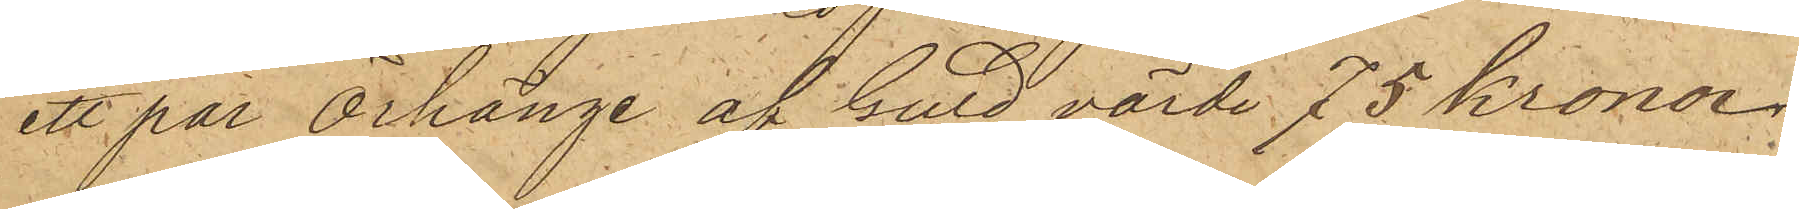ett par örhänge af Guld värde 75 kronor.
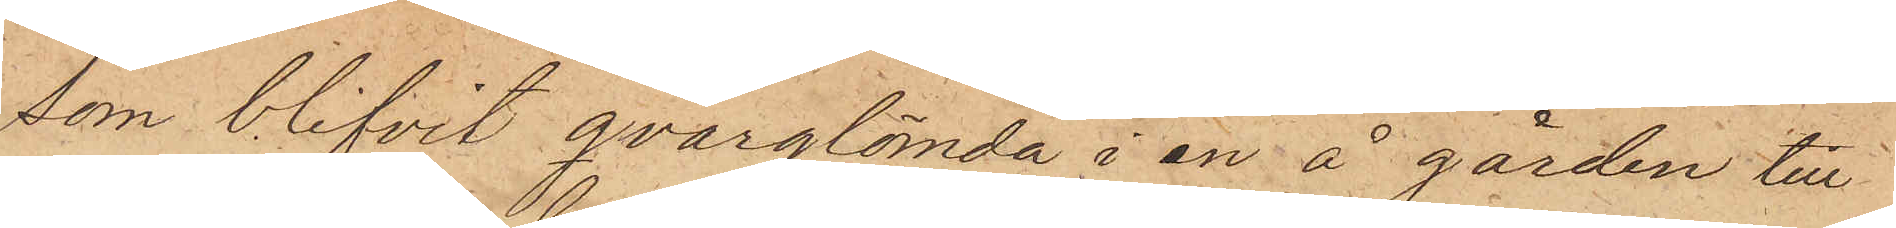som blifvit qvarglömda i en å gården till
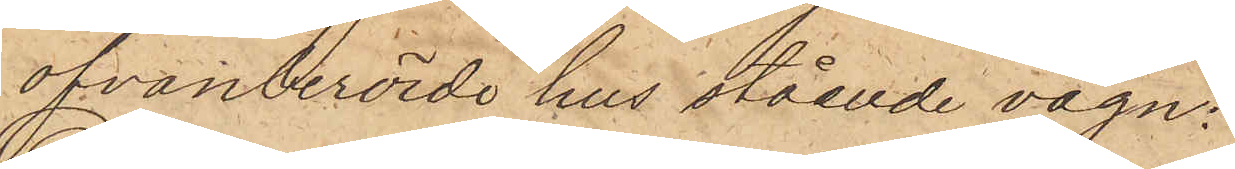ofvanberörde hus stående vagn.
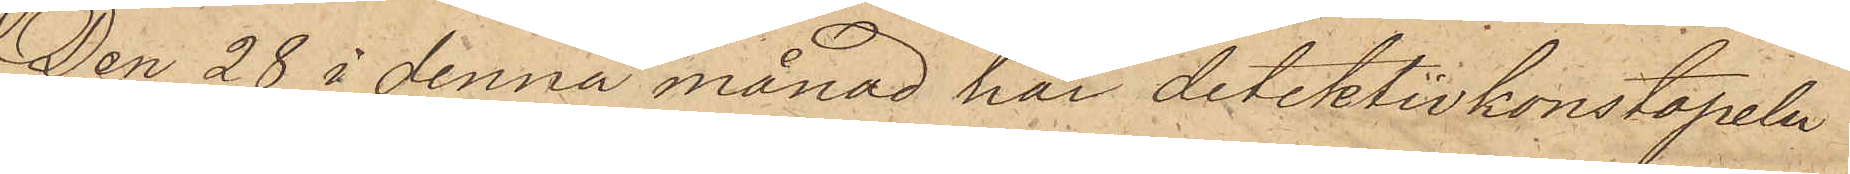Den 28 i denna månad har detektivkonstapeln
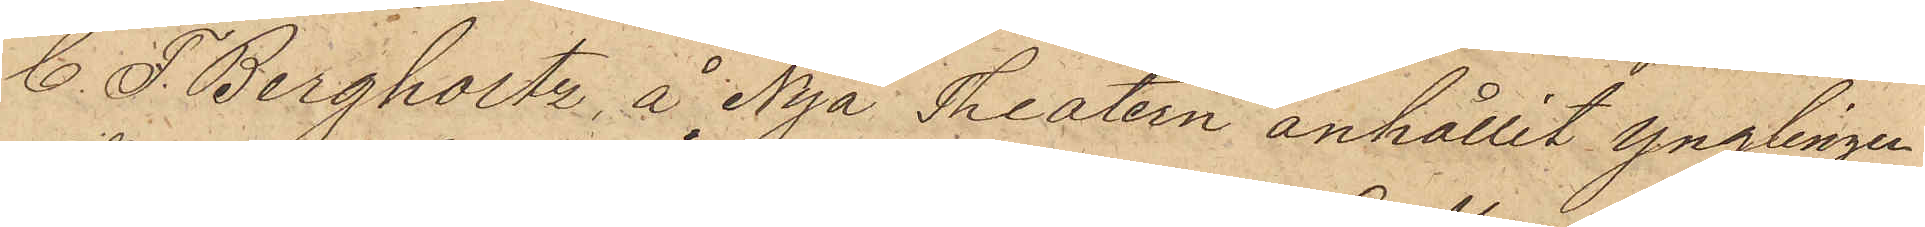C. F. Bergholtz å Nya Theatern anhållit ynglingen
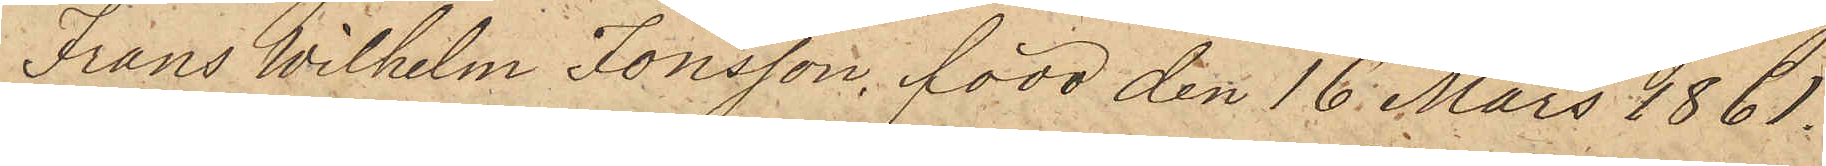Frans Wilhelm Jonsson, född den 16 Mars 1861
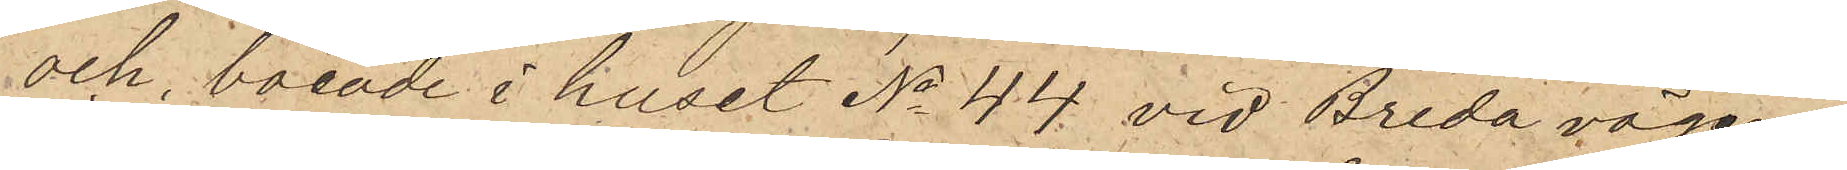och boende i huset No 44 vid Breda vägen
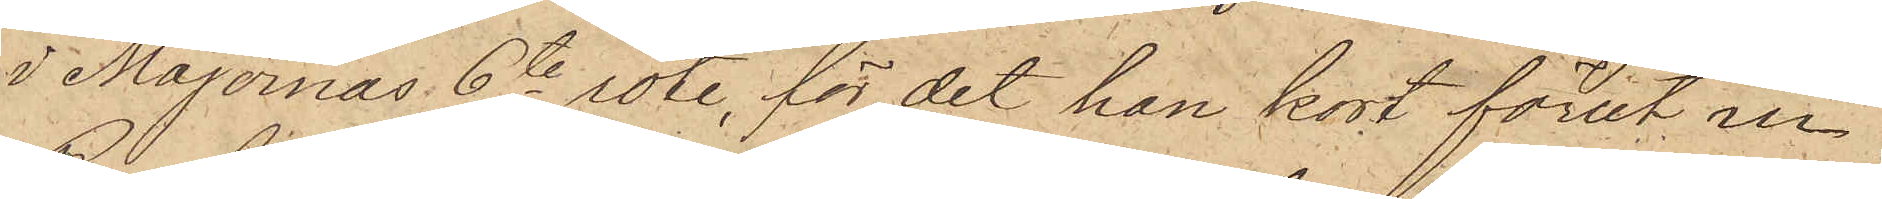i Majornas 6te rote, för det han kort förut ur
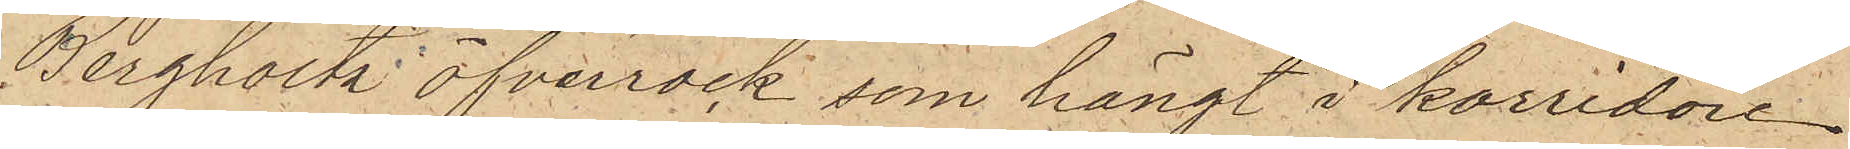Bergholtz' öfverrock, som hängt i korridoren
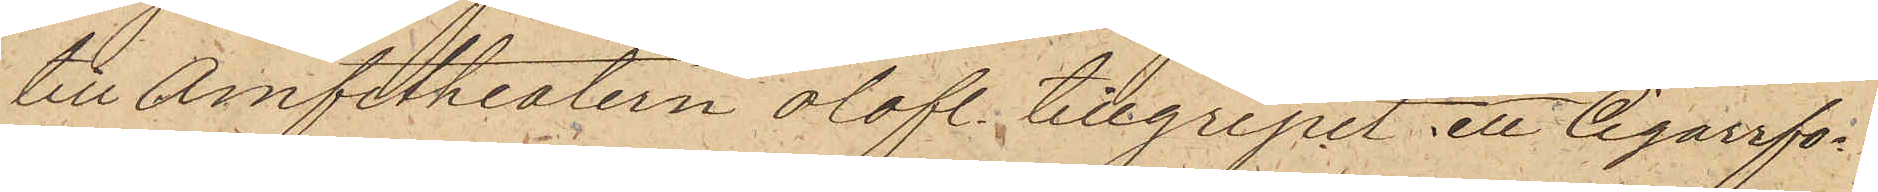till Amfitheatern olofl. tillgripit ett Cigarrfo¬
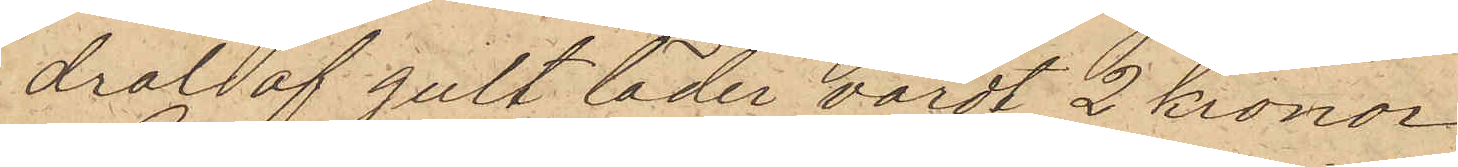dral af gult läder värdt 2 kronor.
